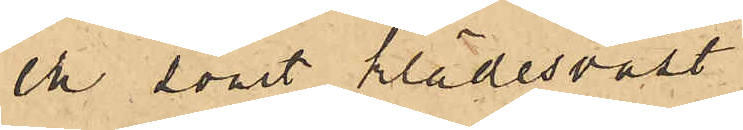en svart klädesväst
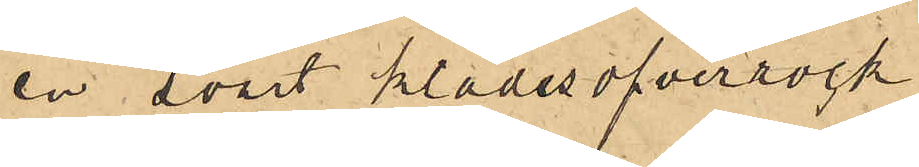en svart klädesöfverrock
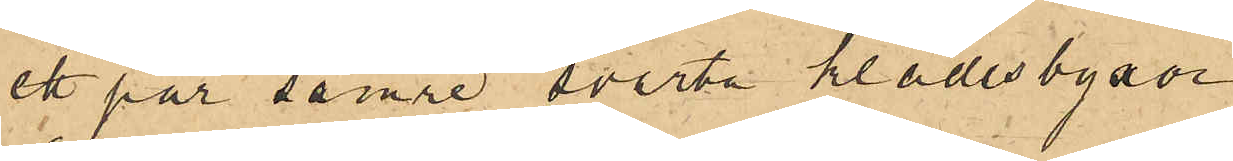ett par sämre svarta klädesbyxor
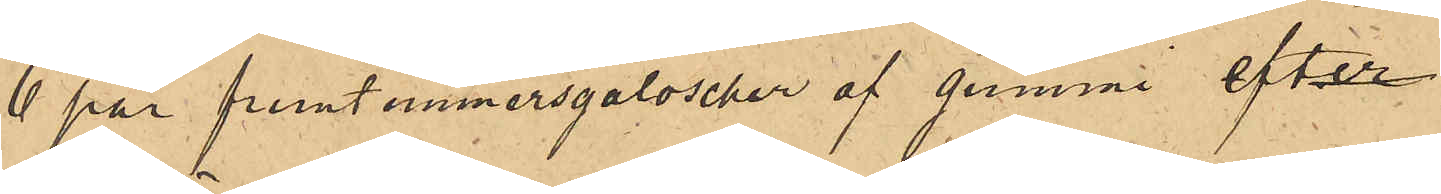6 par fruntimmersgaloscher af gummi efter
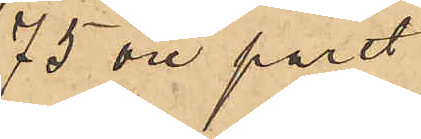75 öre paret
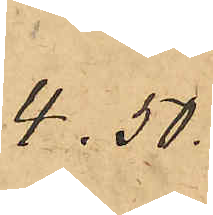4.50
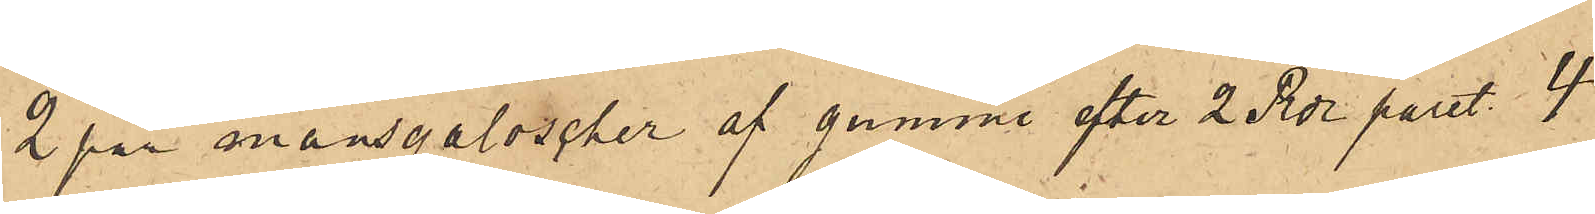2 par mansgaloscher af gummi efter 2 Rdr paret  4
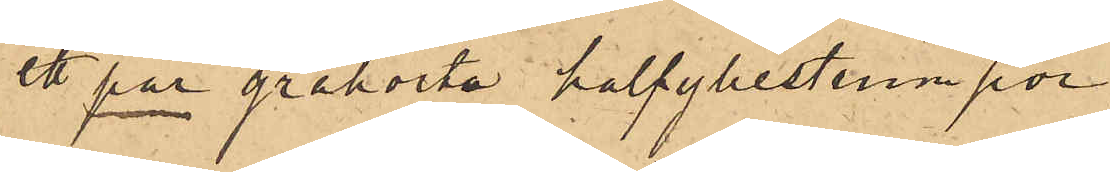ett par gråhvita halfyllestrumpor
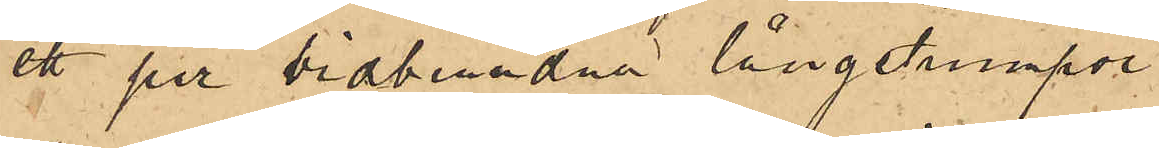ett par vidbundna långstrumpor
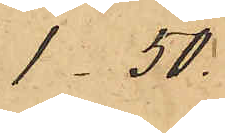1.50
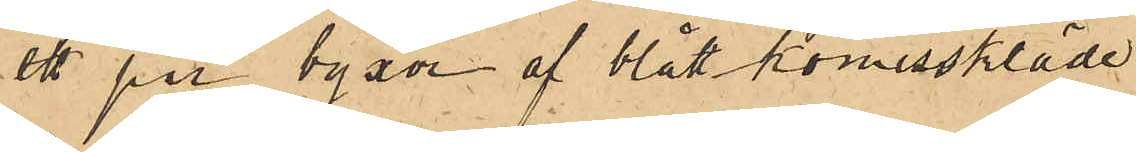ett par byxor af blått komisskläde
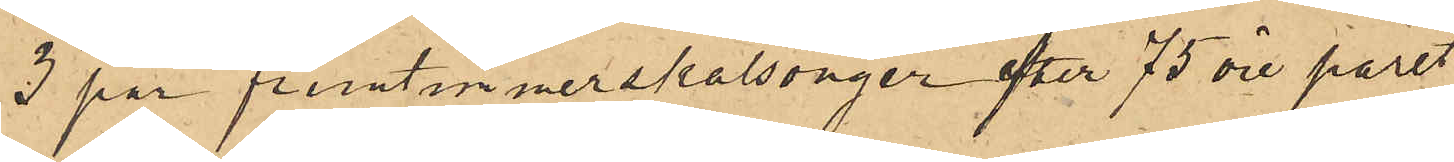3 par fruntimmerskalsonger efter 75 öre paret
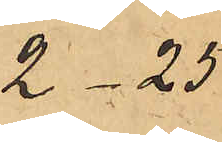2.25
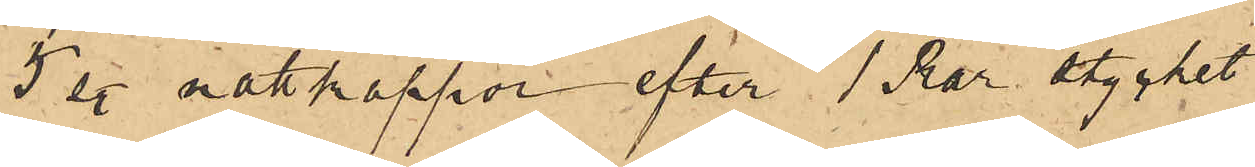5 sty. nattkappor efter 1 Rdr stycket
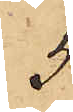5
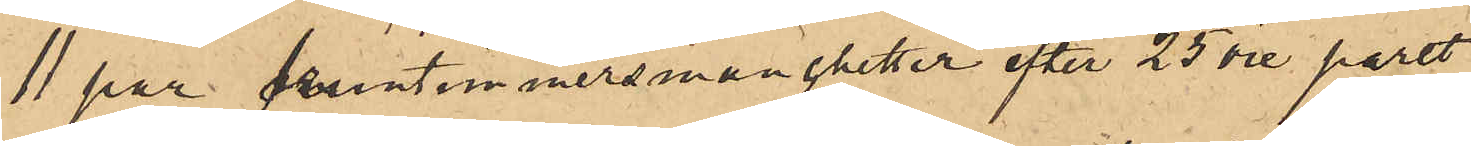11 par fruntimmersmanchetter efter 25 öre paret
